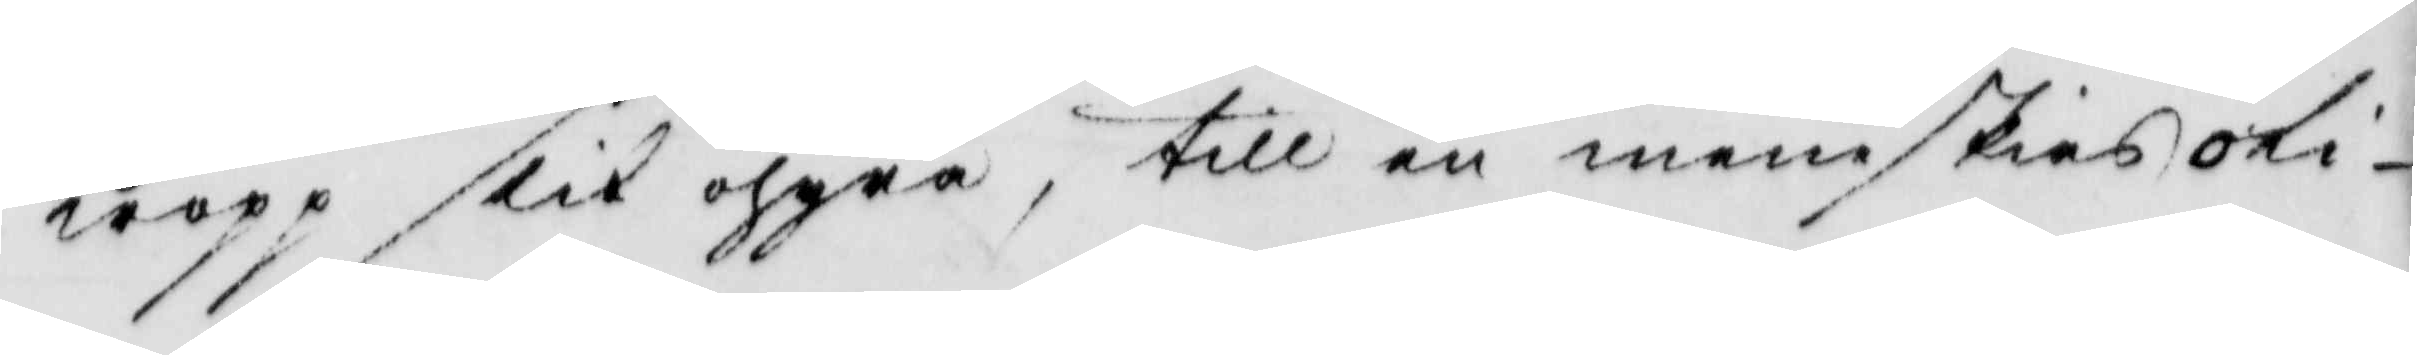kropp slik ohyra, till en meniskias oli¬
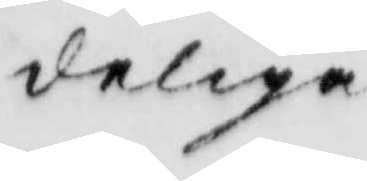deliga
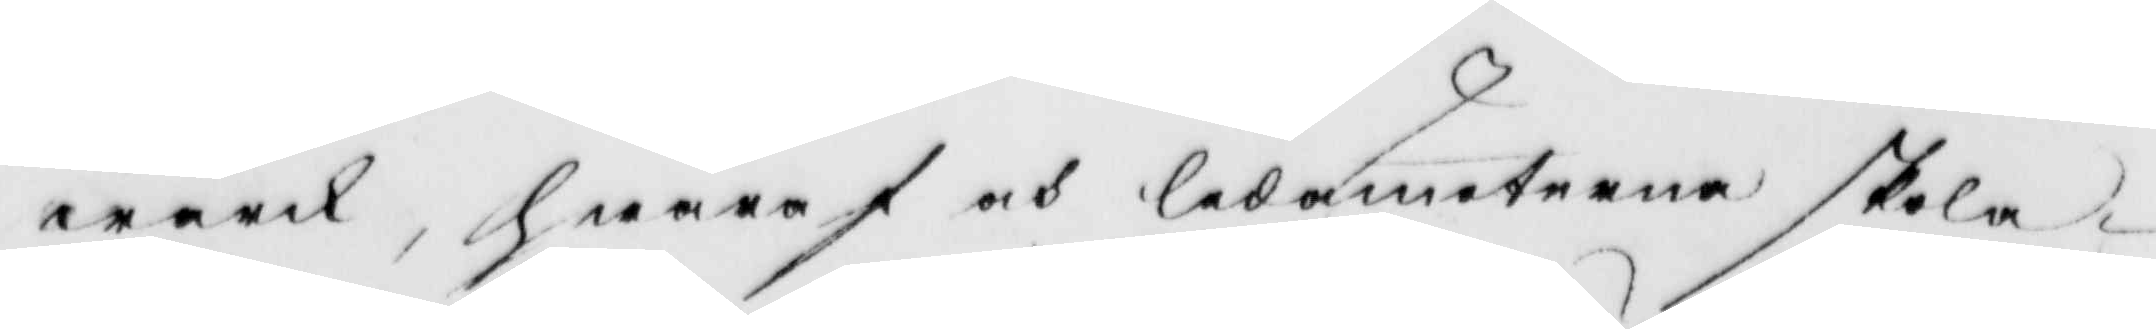wärk. hwaraf och ledamöterna skola
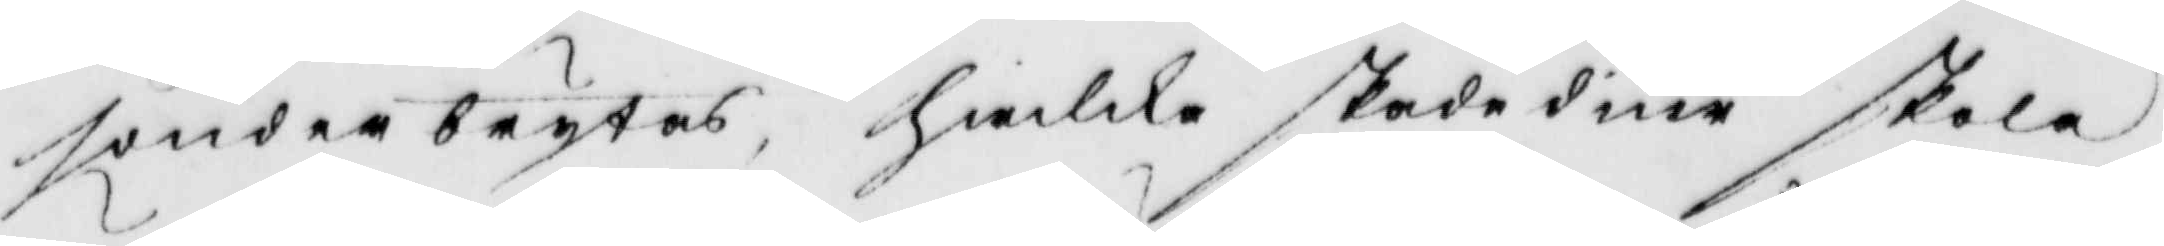sönderbrytas, hwilka skada diur skola
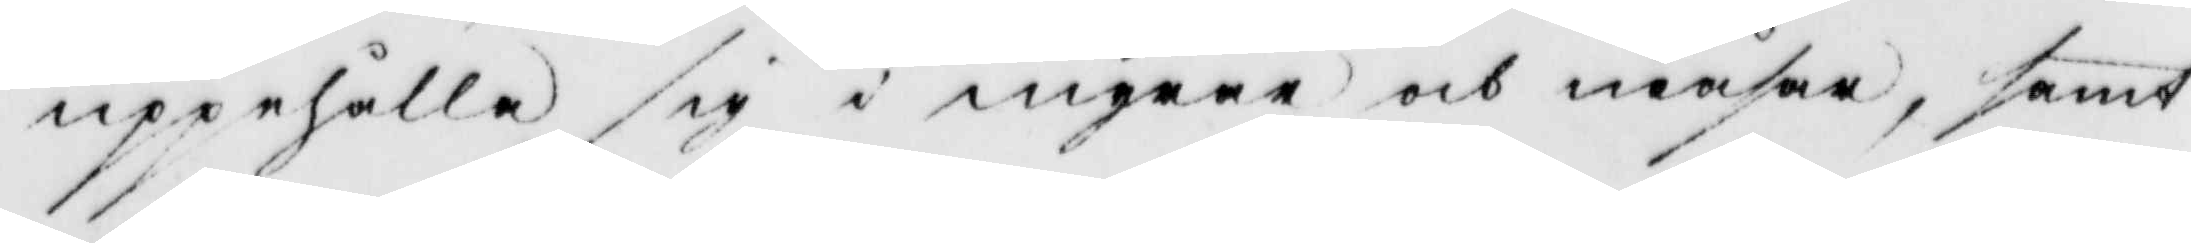uppehålla sig i myrar och måsar, samt
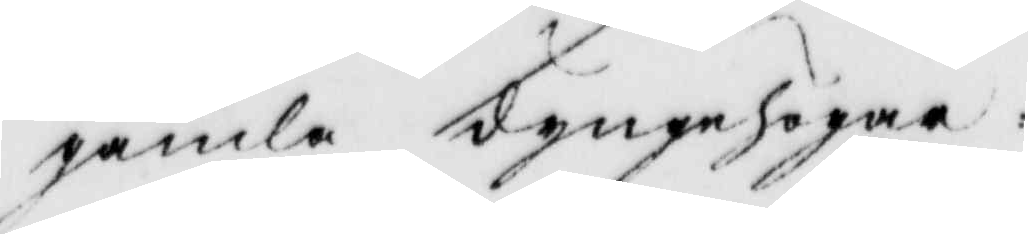gamla dynghögar:
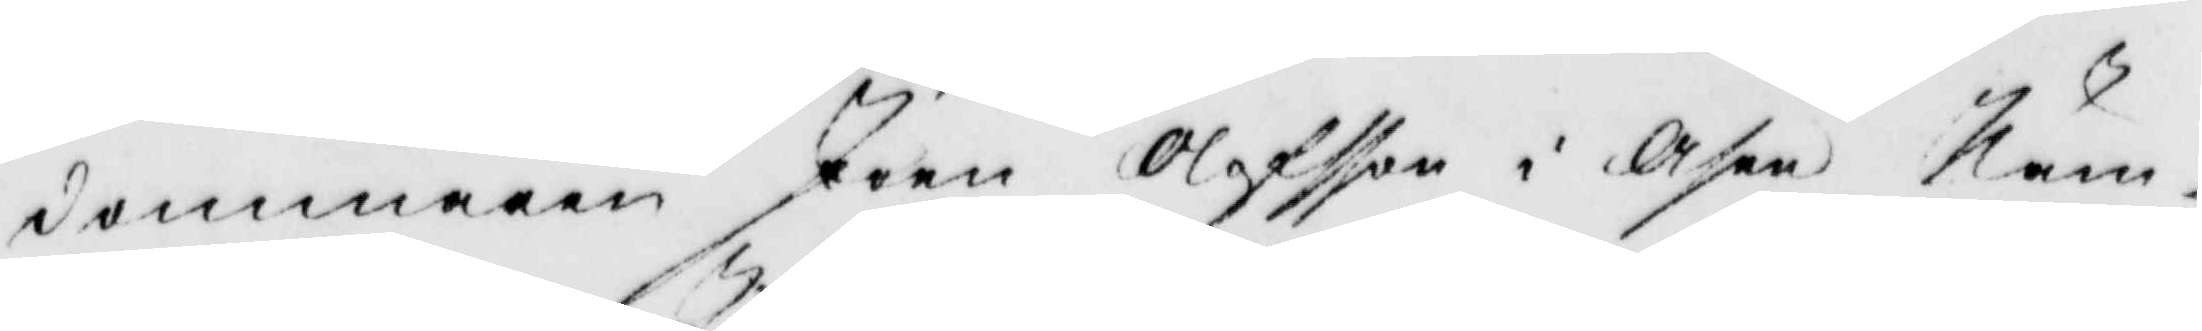dommaren Joen Olofsson i Åsen Näm¬
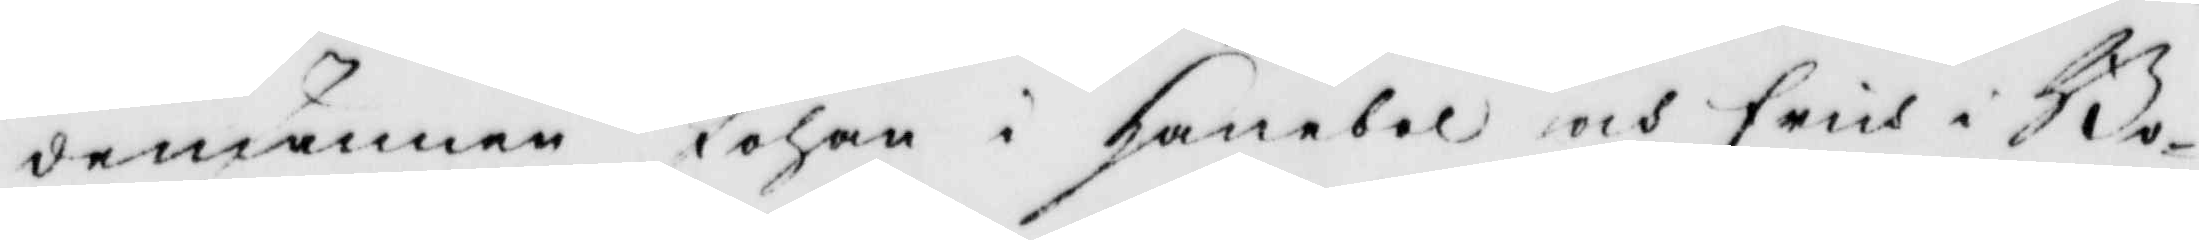demännen Johan i hanebol och Erich i Bo¬
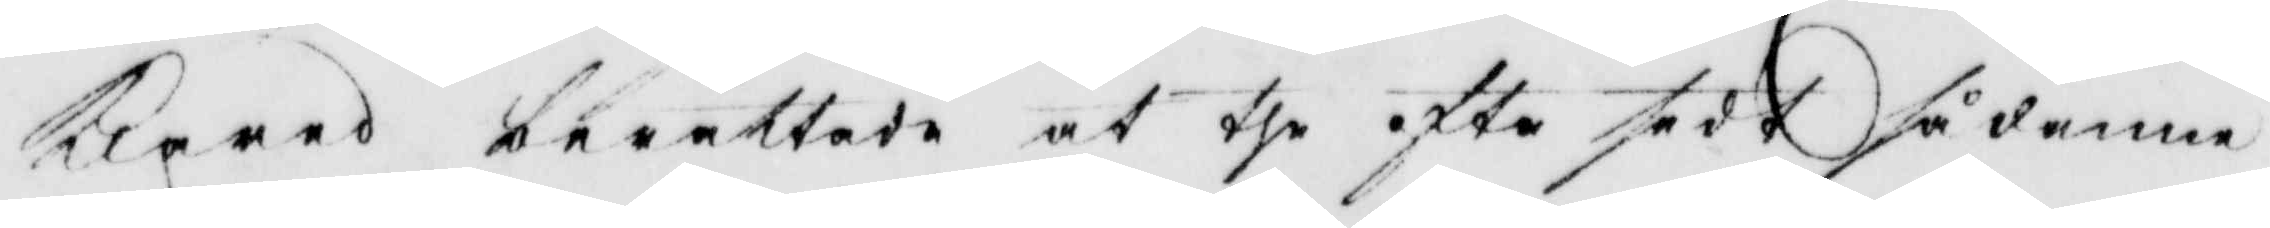klarad berättade at the ofta sedt sådanna
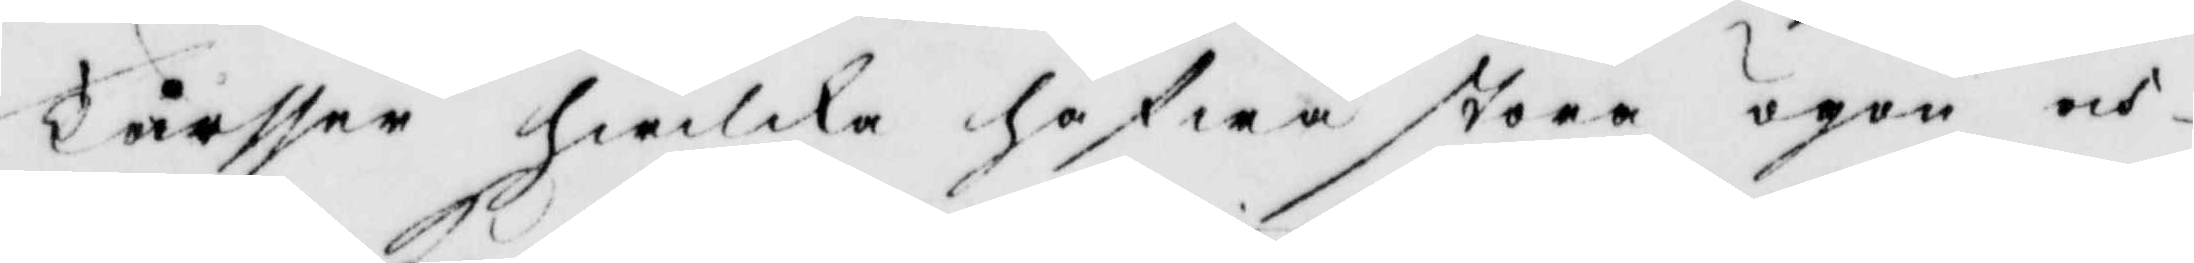Tårsser hwilka hafwa stora ögon och
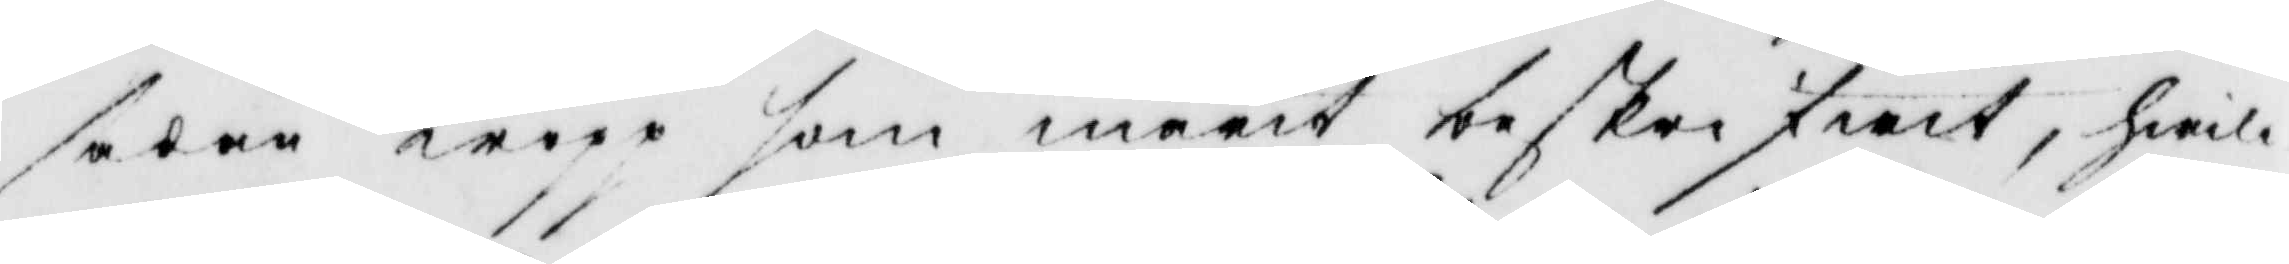sådan kropp som marit beskrifwit, hwil¬
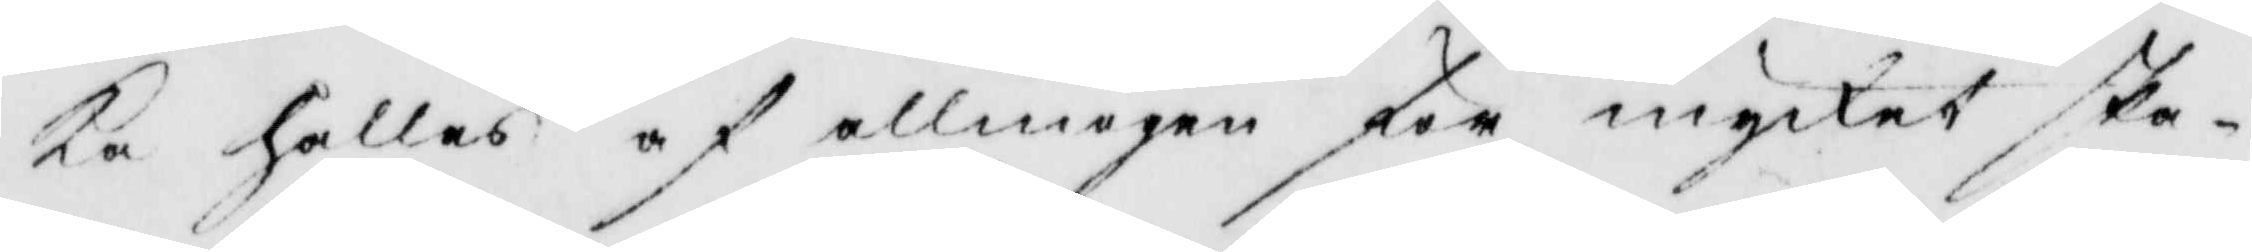ka hålles af allmogen för mycket ska¬
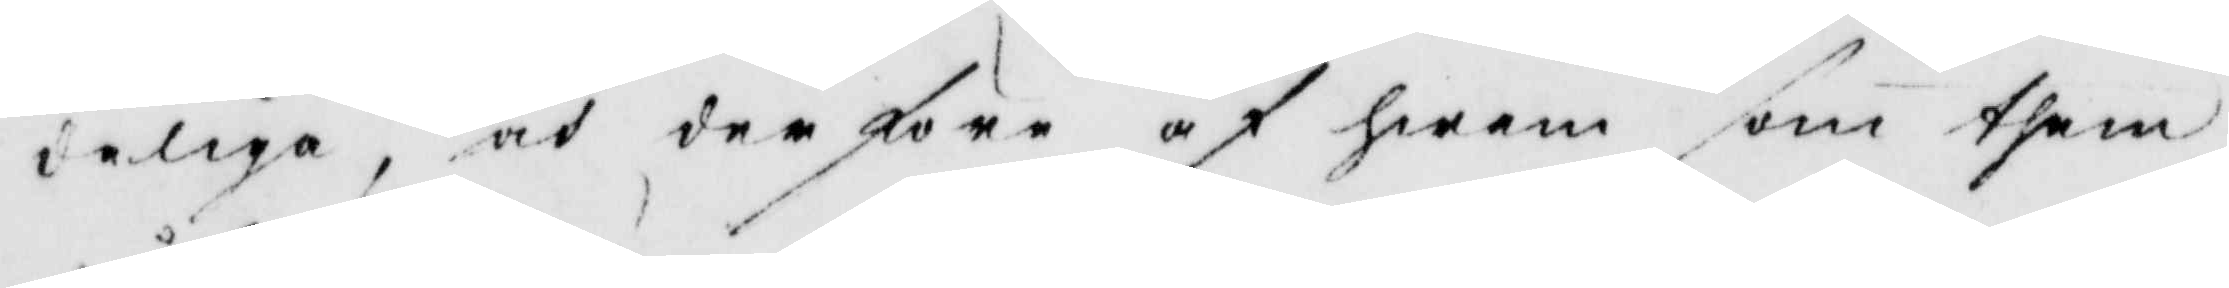deliga, och derföre af hwem som them
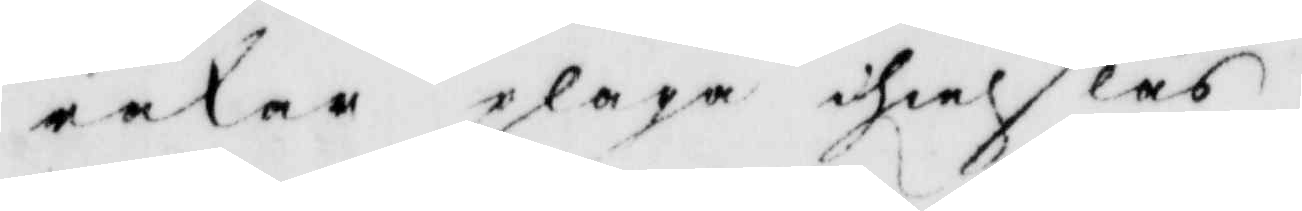råkar pläga ihielslås.
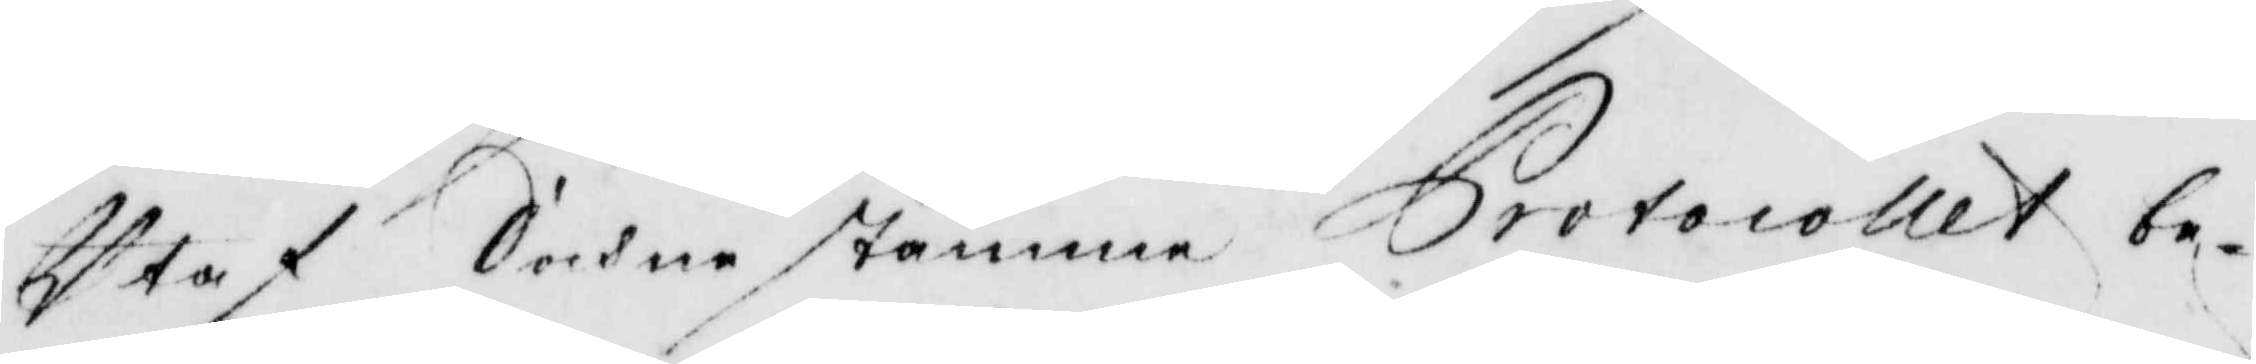Utaf Sochnestemma Protocollet be¬
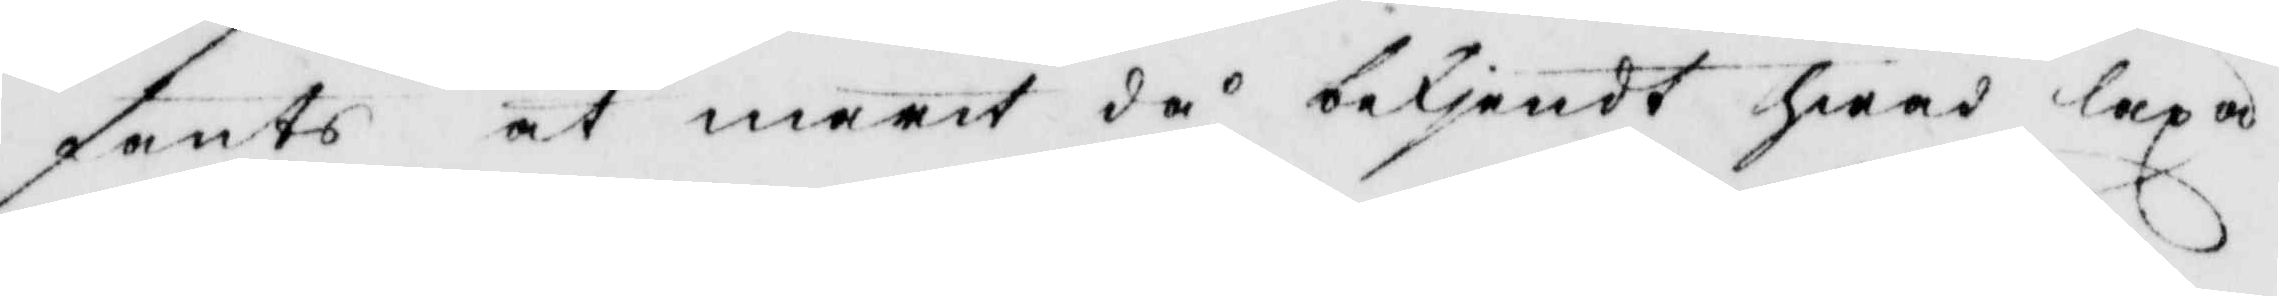fants at marit då bekjendt hwad lexa
